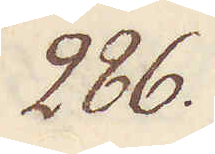286.
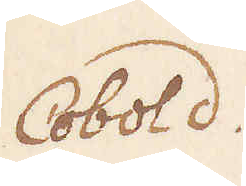Cobold.
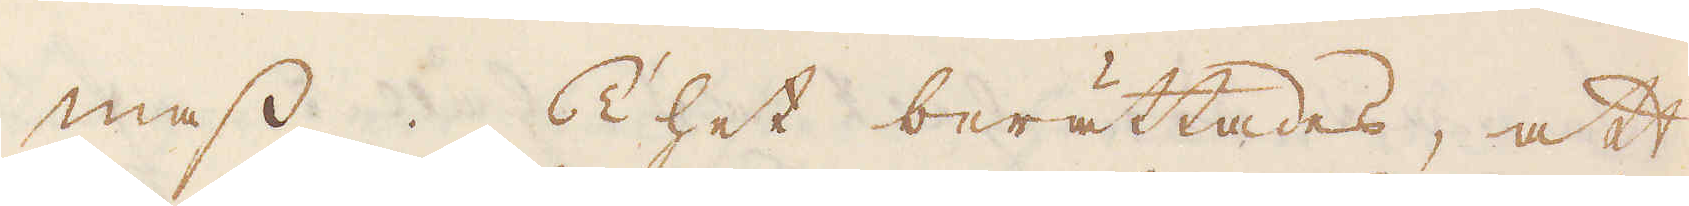mass. Thet berättades, att
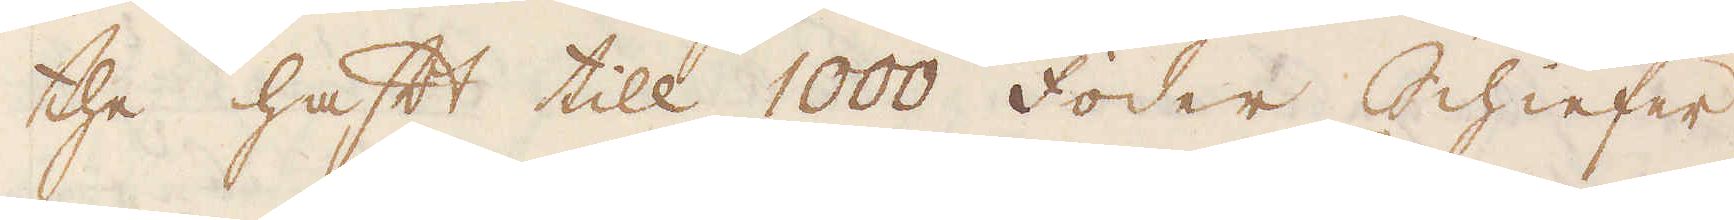the haft till 1000 foder Schieffer.
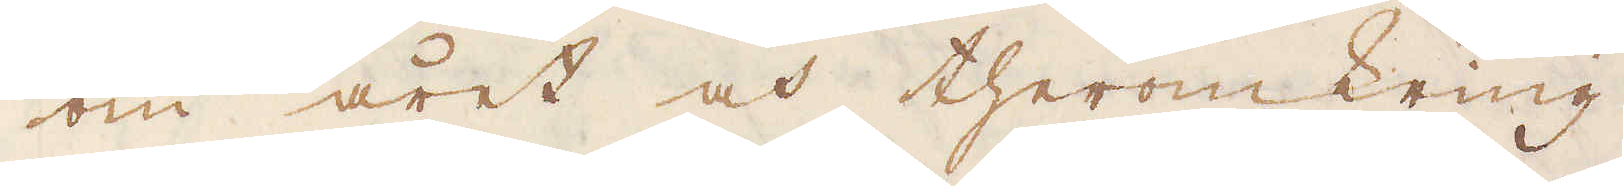om året och theromkring.
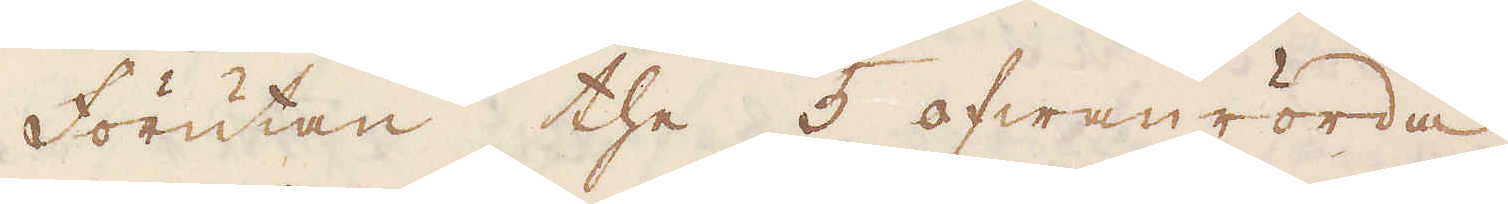Förutan the 5 ofwanrörda
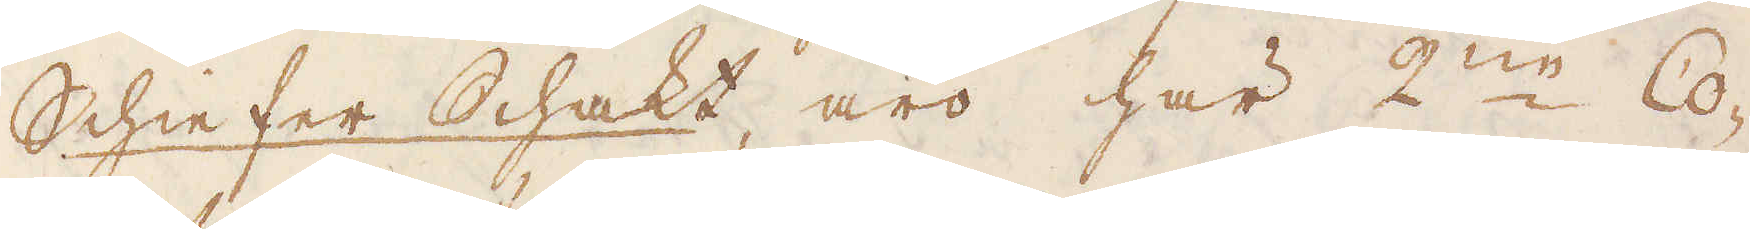Schieffer Schakt, äro här 2:ne Co-
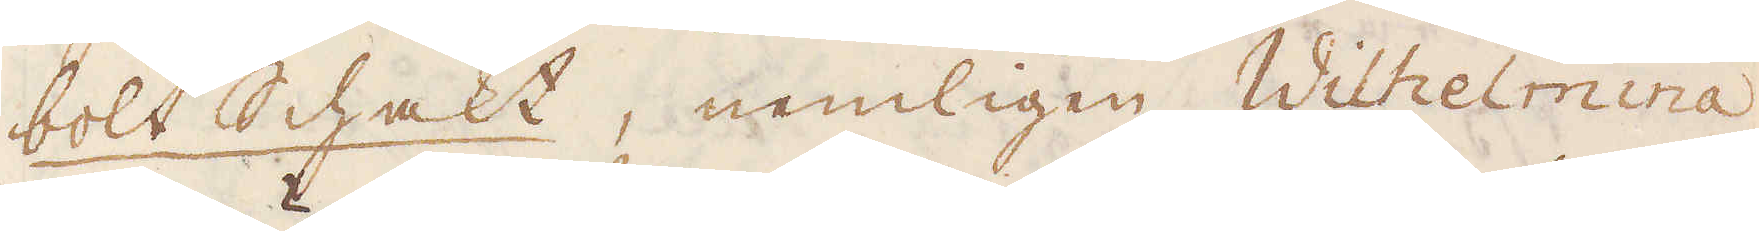bolt Schakt, nemligen Wilhelmina,
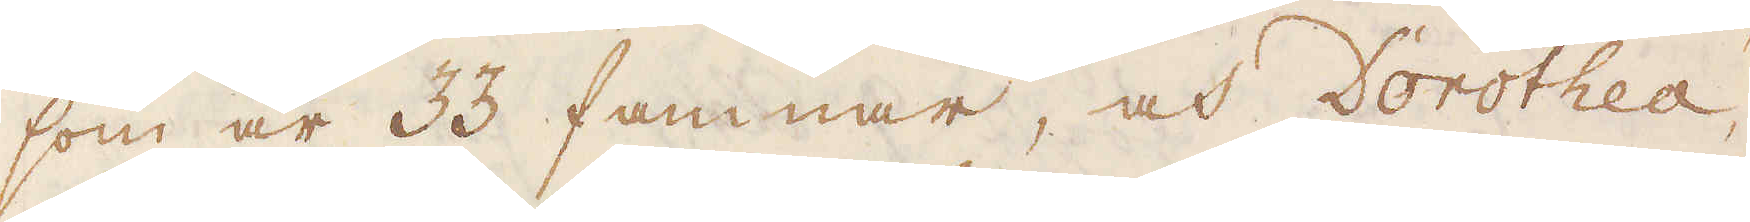som är 33 famnar, och Dorothea,
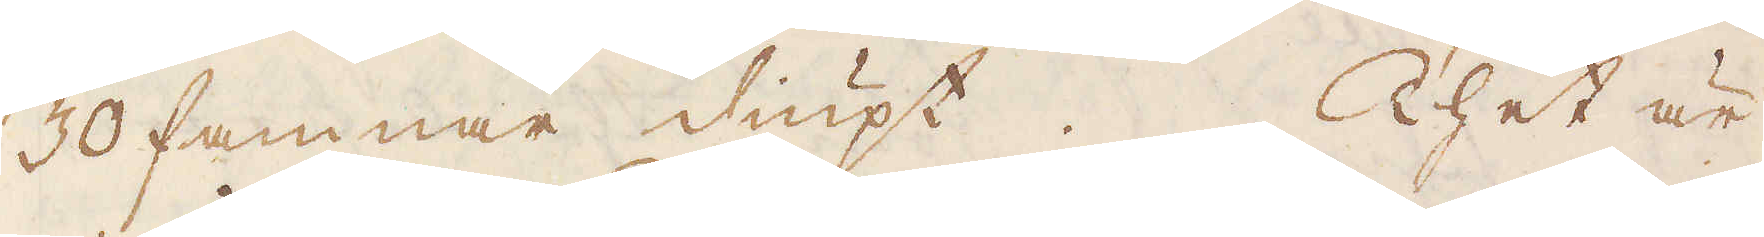30 famnar diupt. Thet är
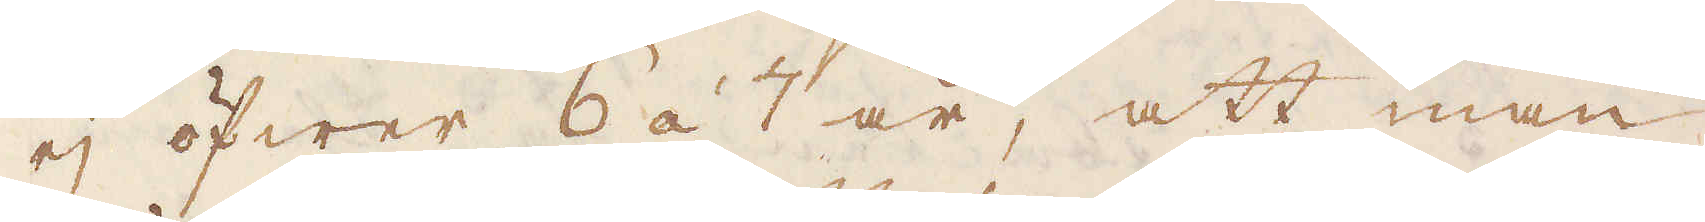ej öfwer 6 á 7 år, att man
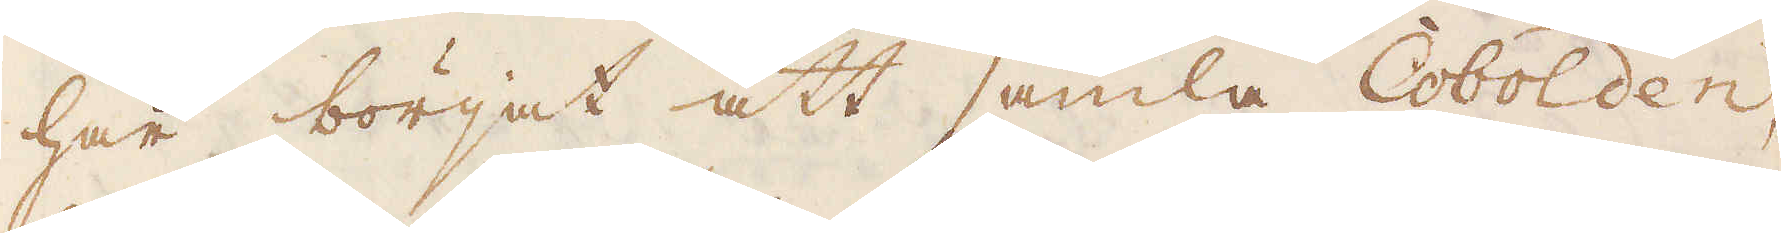har börjat att samla Cobolden,
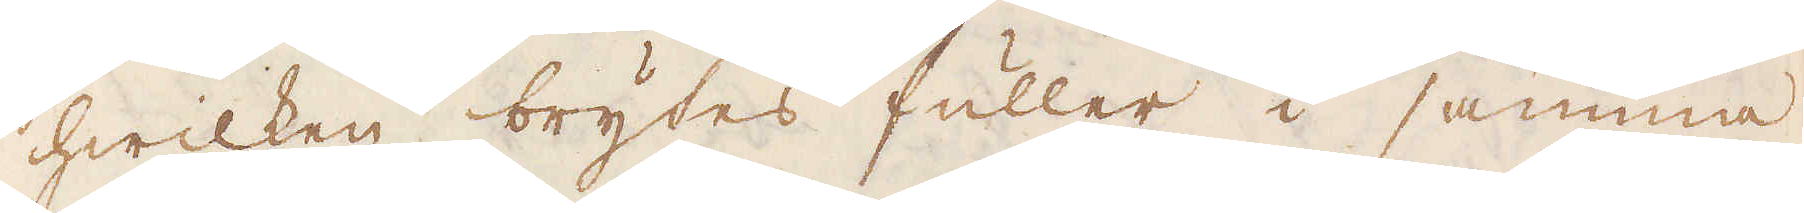hwilken brytes fuller i samma
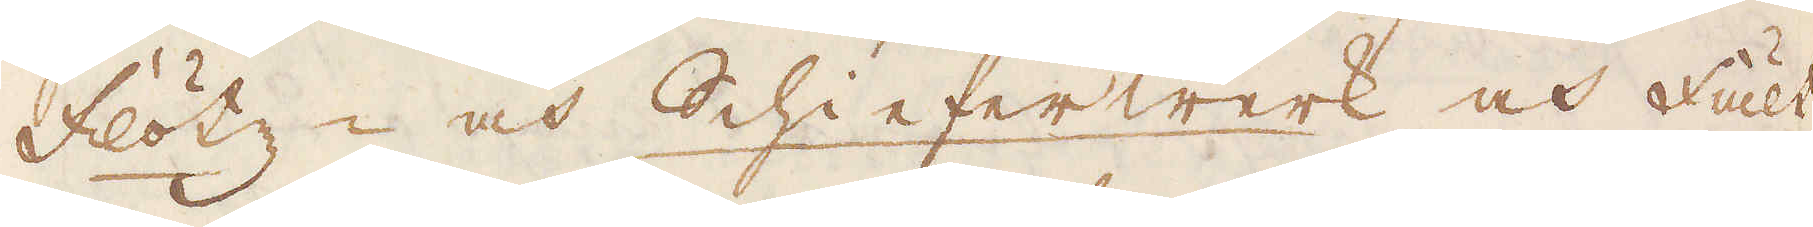Flötz- och Schiefferwerk och fält,
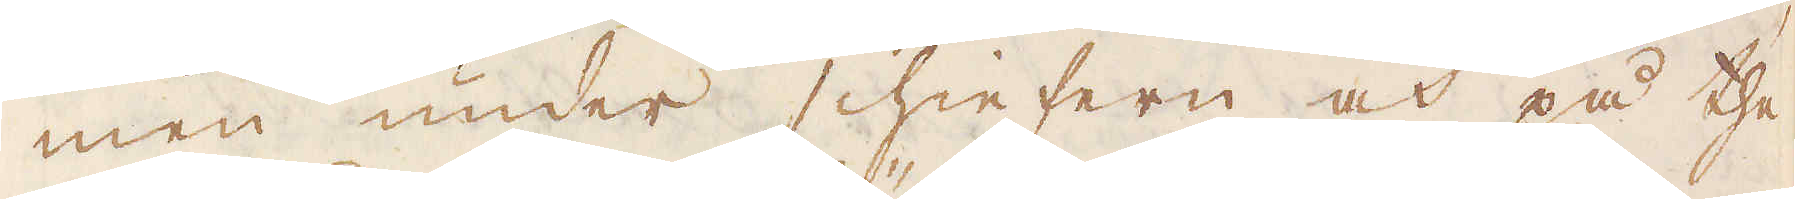men under schieffern och på the
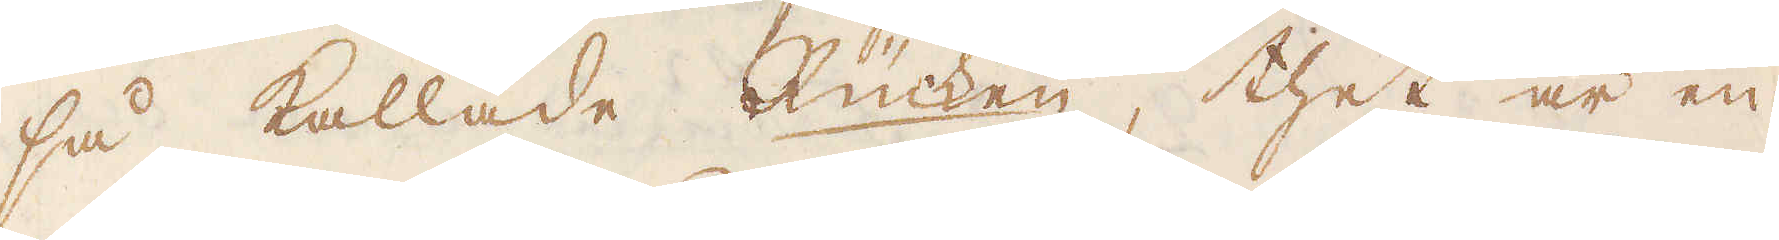så kallade Rücken, thet är en
